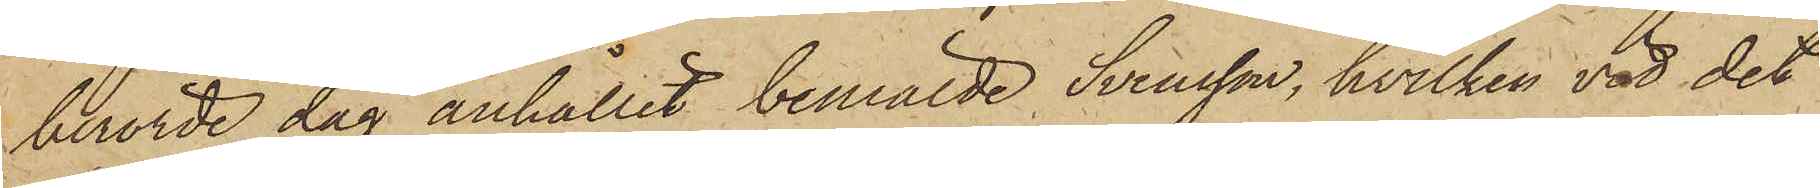berörde dag anhållit bemälde Svensson, hvilken vid det
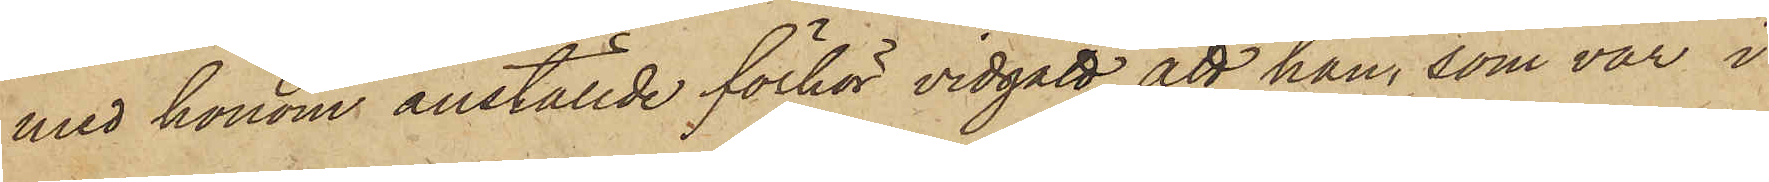med honom anställde förhör vidgått att han, som var i
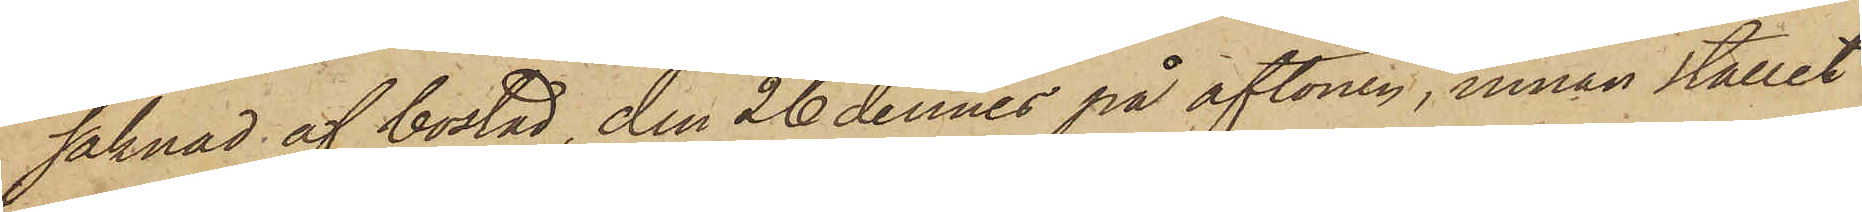saknad af bostad, den 26 dennes på aftonen, innan stallet
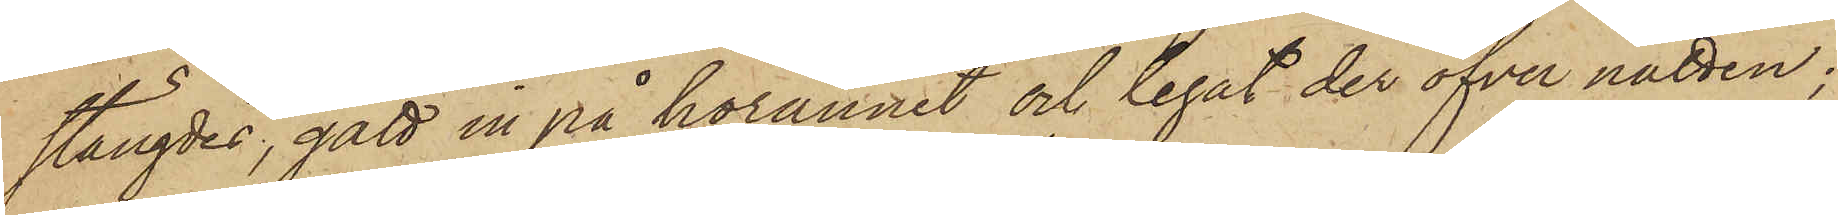stängdes, gått in på hörännet och legat der öfver natten;
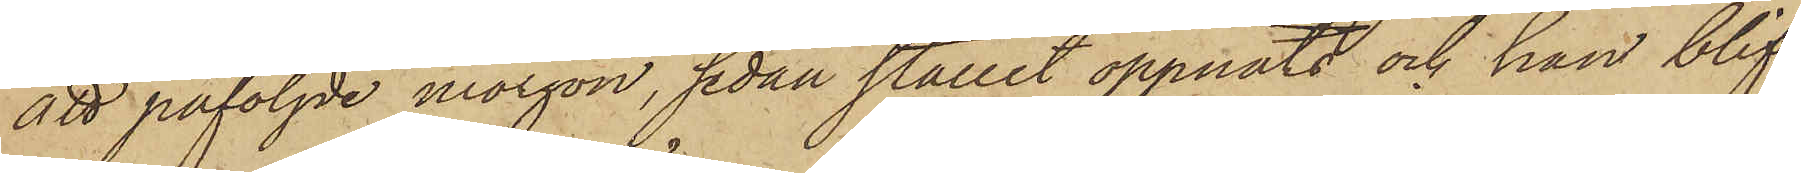att påföljde morgon, sedan stallet öppnats och han blif¬
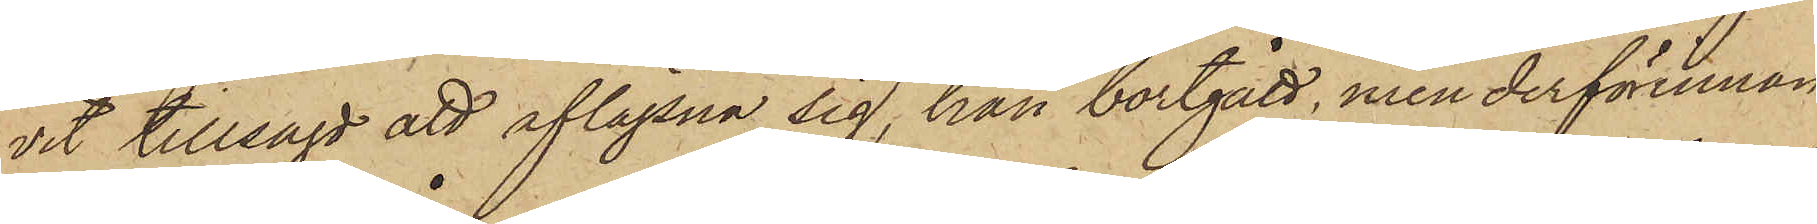vit tillsagt att aflägsna sig, han bortgått, men derförinnan
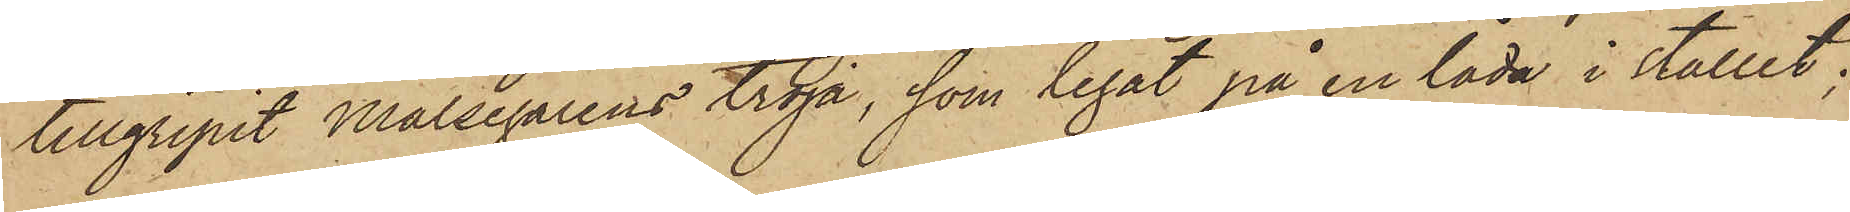tillgripit målsegarens tröja, som legat på en låda i stallet;
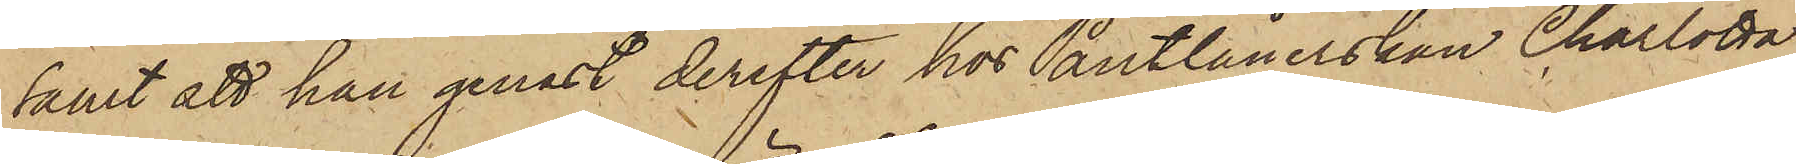samt att han genast derefter hos Pantlånerskan Charlotta
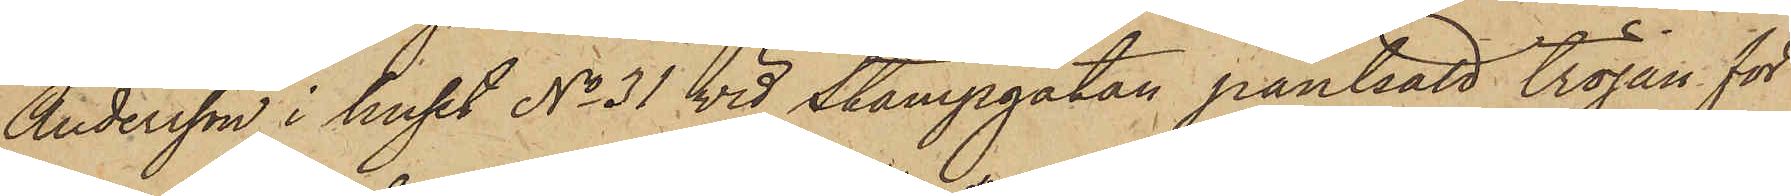Andersson i huset No 31 vid Stampgatan pantsatt tröjan för
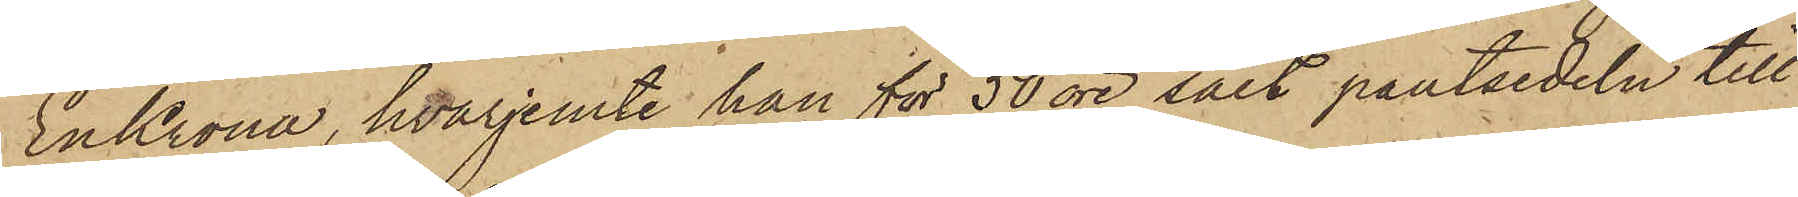En Krona, hvarjemte han för 50 öre sålt pantsedeln till¬
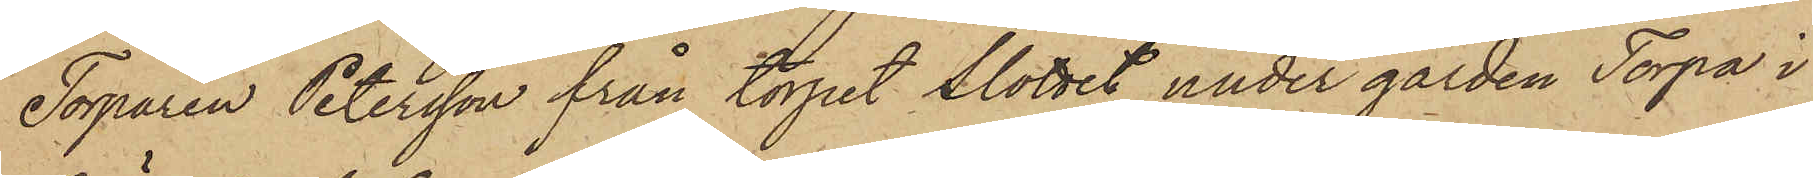Torparen Petersson från torpet Slottet under gården Torpa i
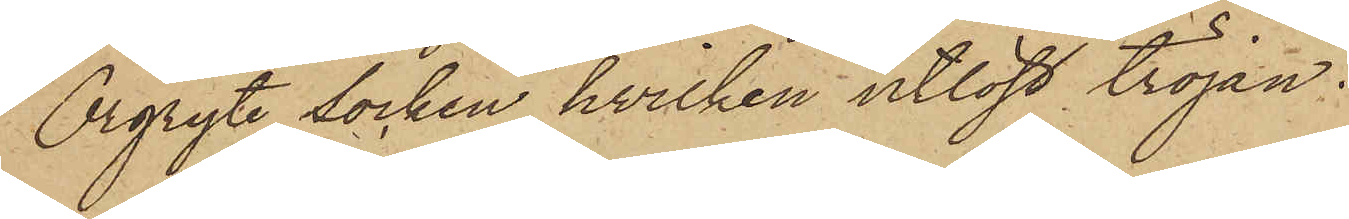Örgryte Socken, hvilken utlöst tröjan.
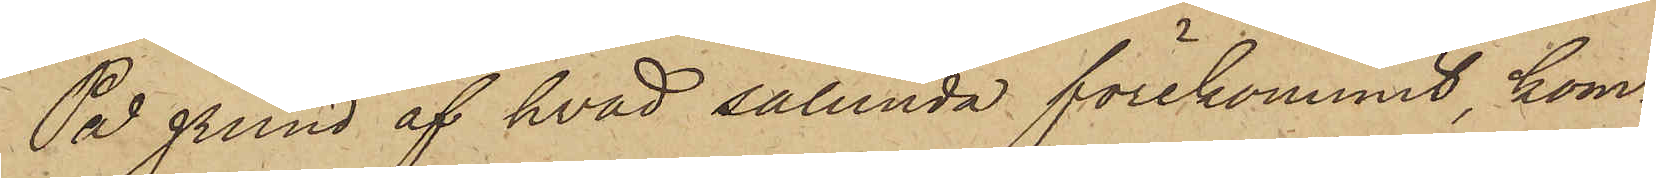På grund af hvad sålunda förekommit kom¬
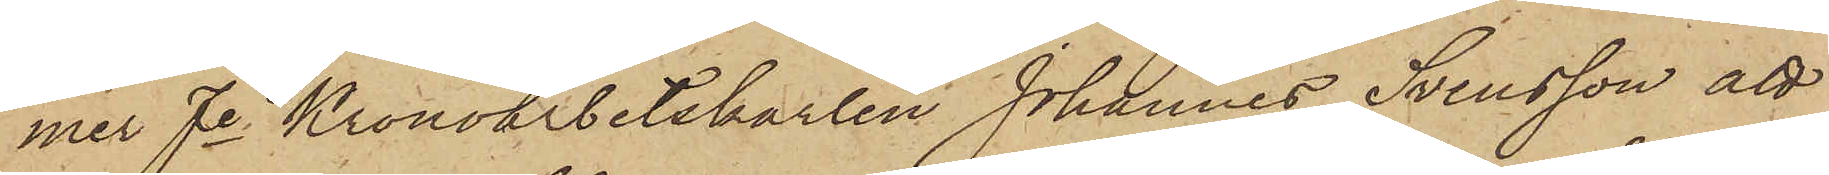mer fe Kronoarbetskarlen Johannes Svensson att
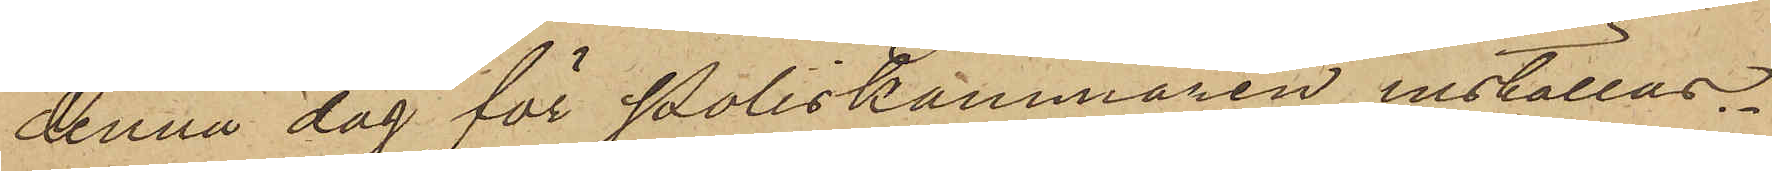denna dag för Poliskammaren inställas.
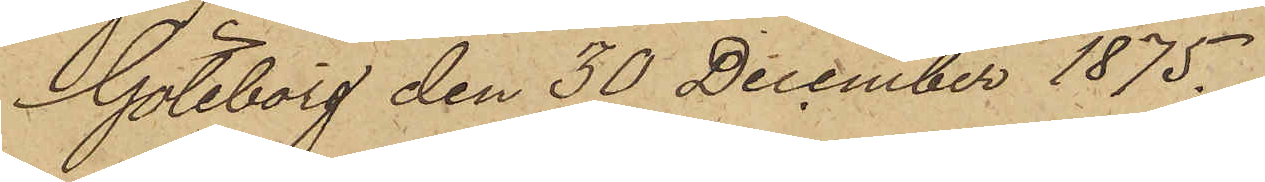Göteborg den 30 December 1875.
